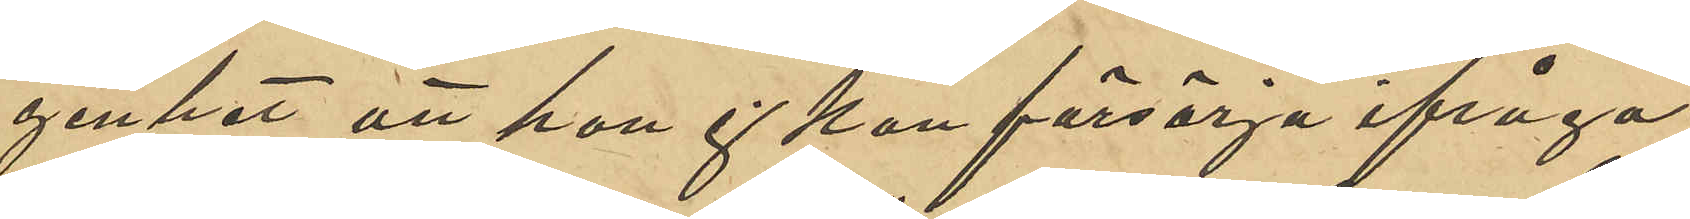genhet att hon ej kan försörja ifråga¬
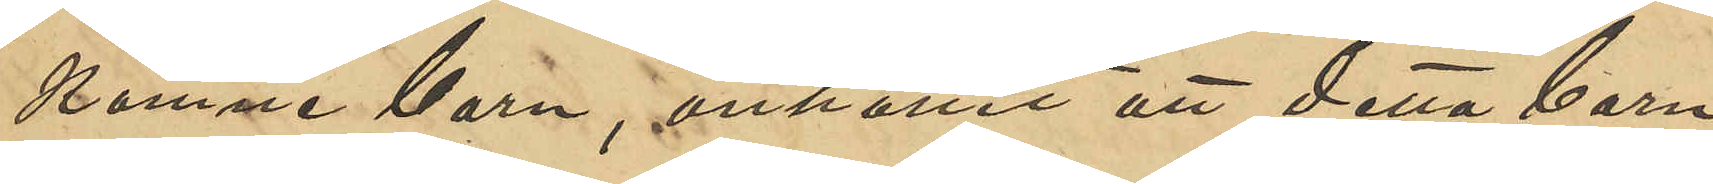komne barn, anhållit att detta barn
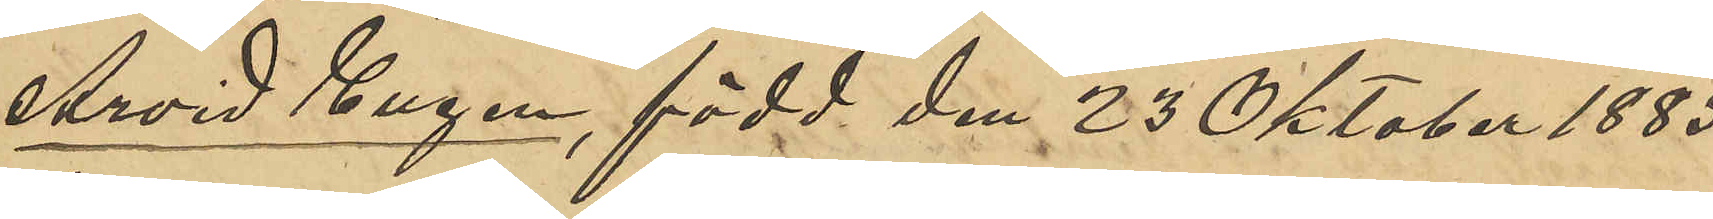Arvid Eugen, född den 23 Oktober 1885
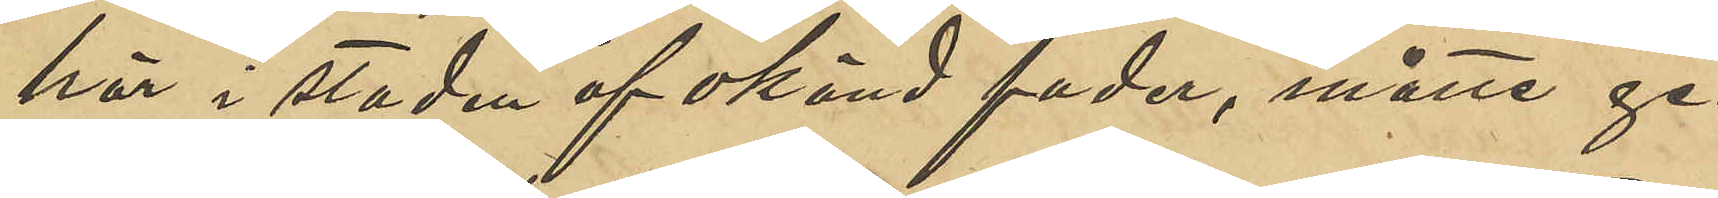här i staden af okänd fader, måtte ge¬
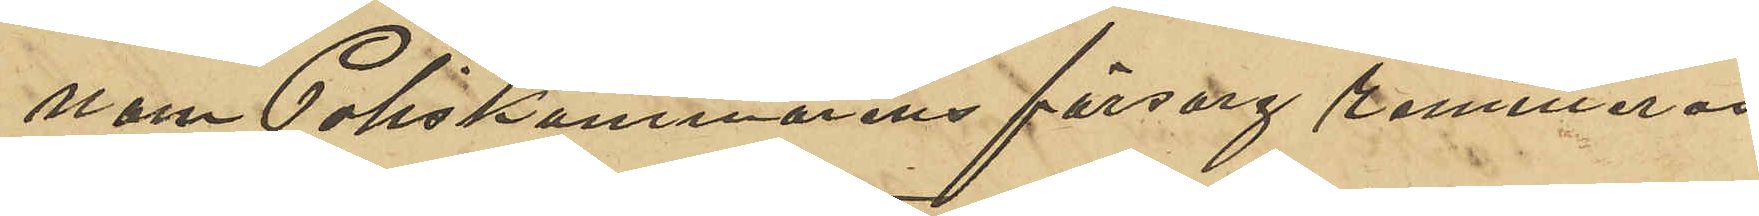nom Poliskammarens försorg remitteras
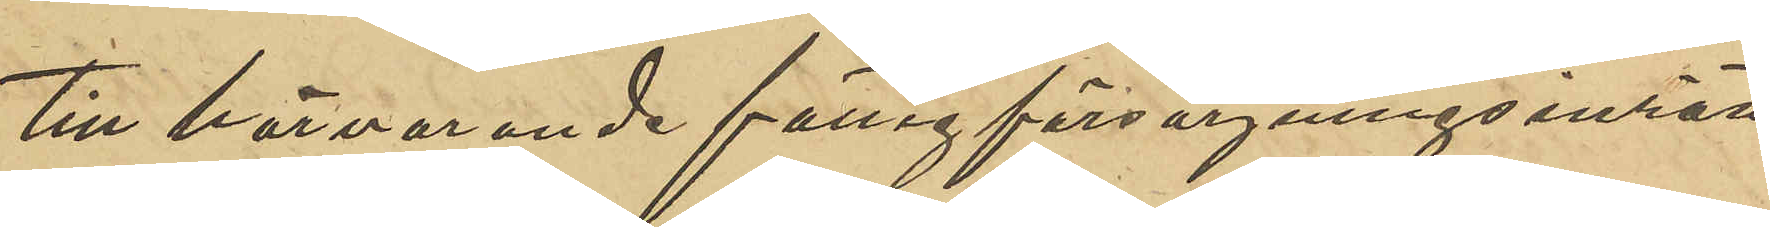till härvarande fattigförsörjningsinrätt¬
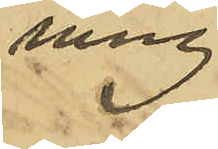ning.
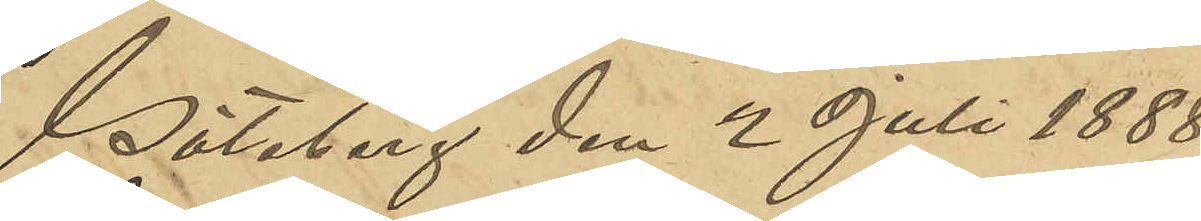Göteborg den 2 Juli 1888
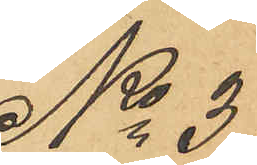No 37
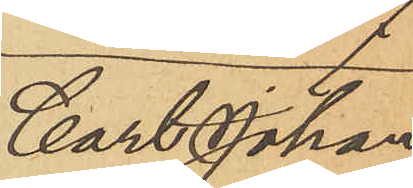Carl Johan
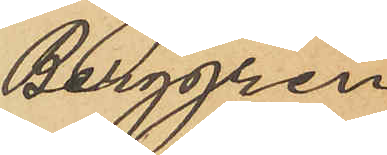Berggren
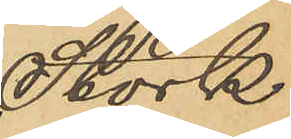Stork.
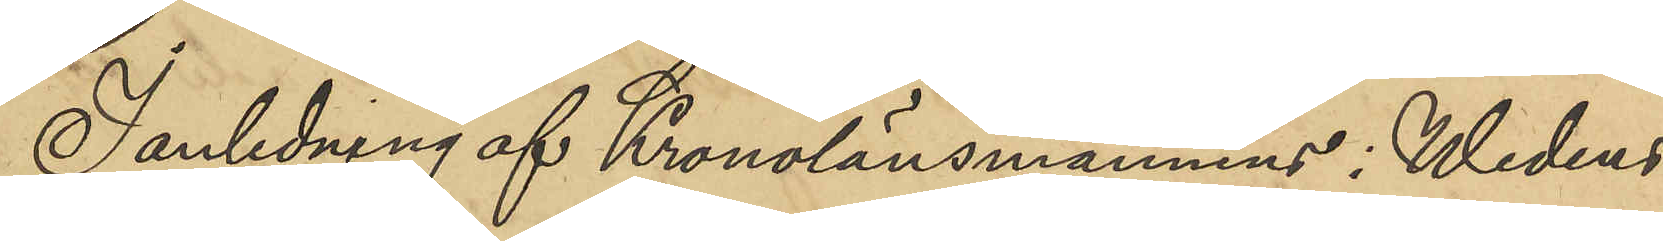I anledning af Kronolänsmannens i Wedens
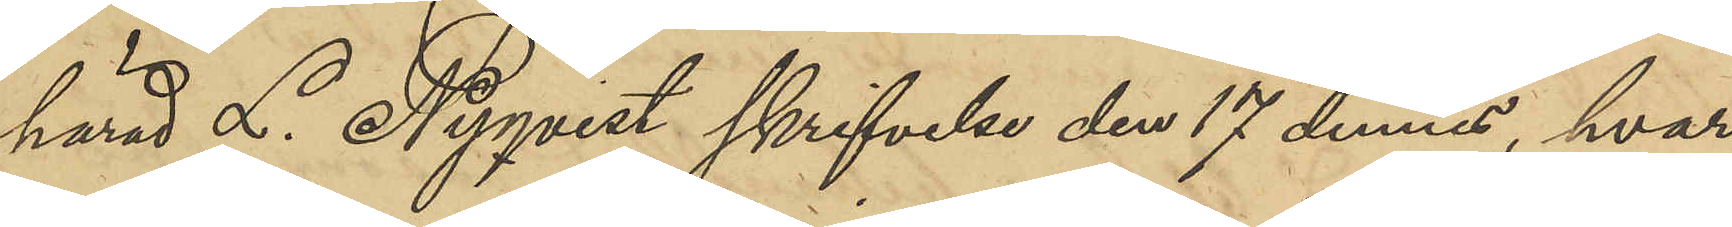härad L. Nyqvist skrifvelse den 17 dennes, hvari
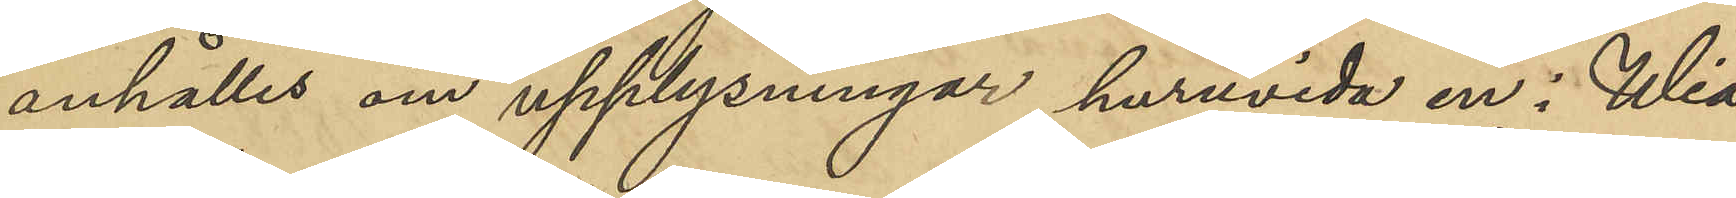anhålles om upplysningar huruvida en i Wia¬
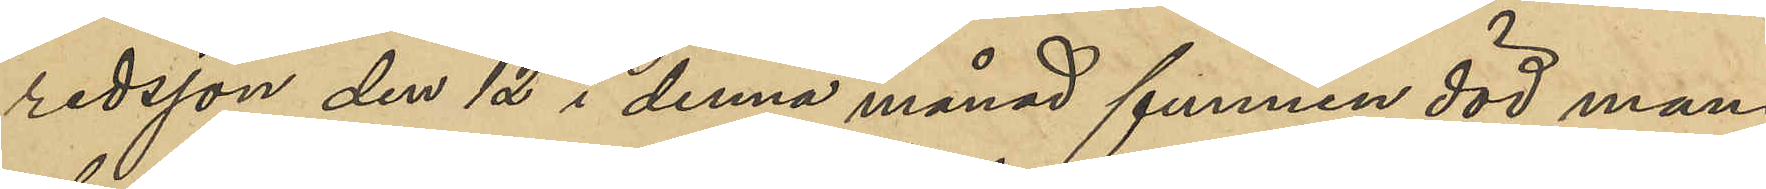redsjön den 12 i denna månad funnen död mans¬
